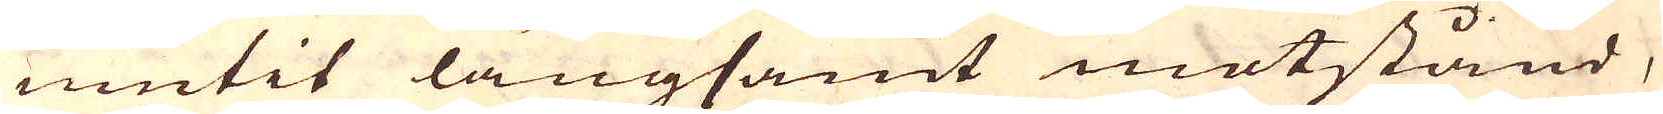niutit långsamt motstånd,
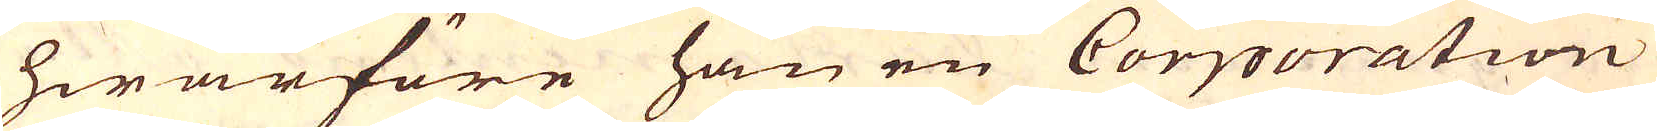hwarföre han en Corporation
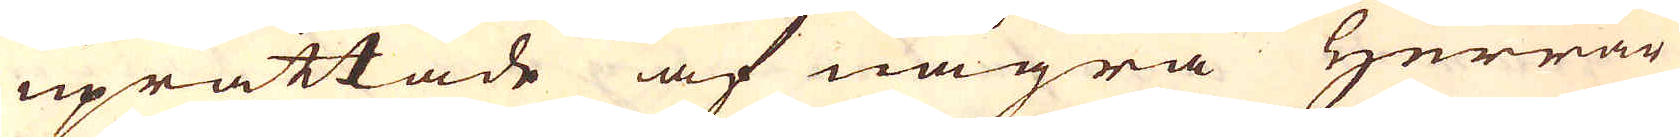uprättade af några Herrar
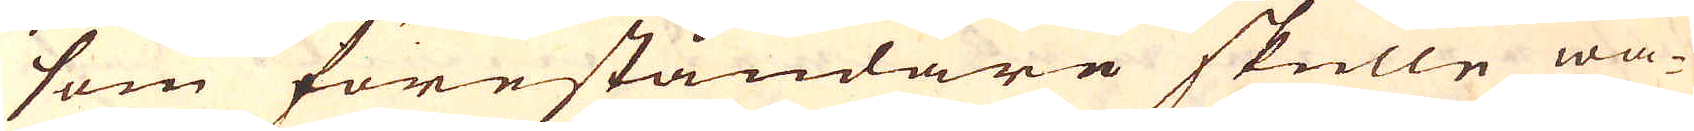som föreståndare skulle wa-
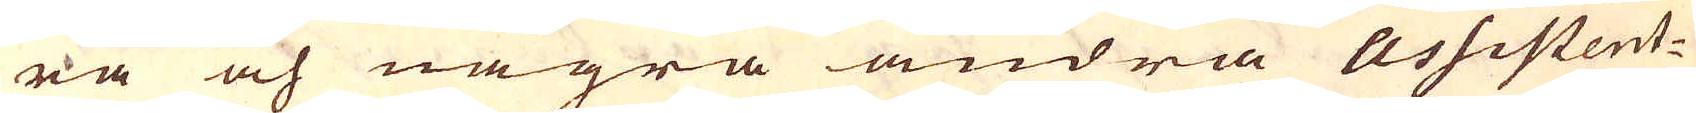ra och några andra Assistent-
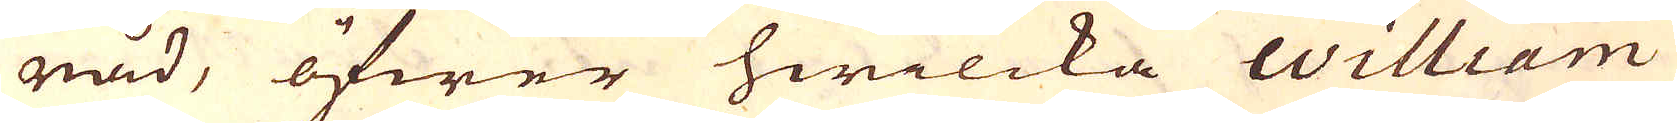råd, öfwer hwilcka William
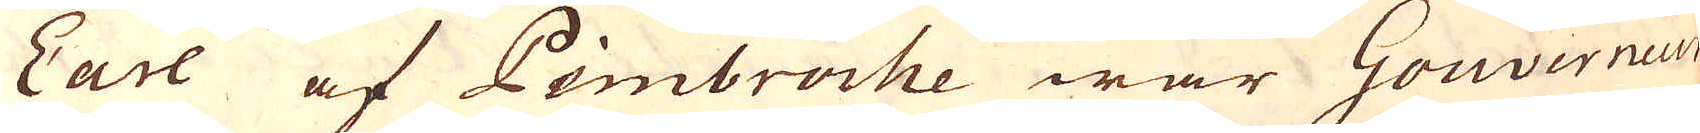Earl af Pimbroche war Gouverneur
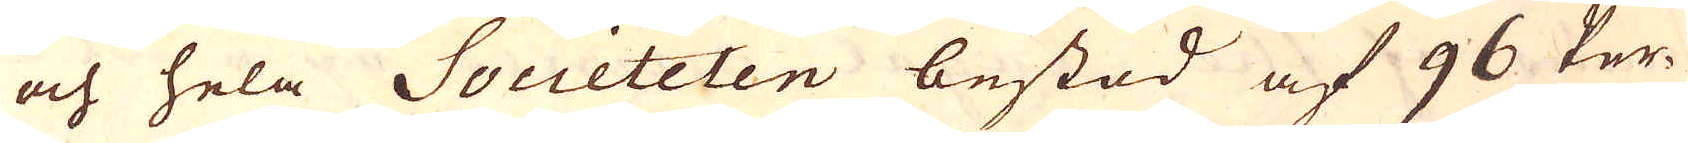och hela Societeten bestod af 96 Per-
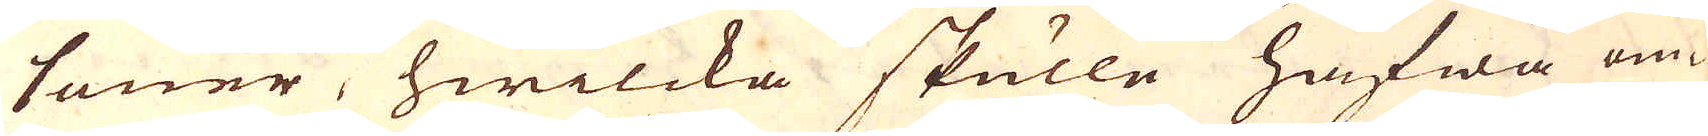soner, hwilcka skulle hafwa om-
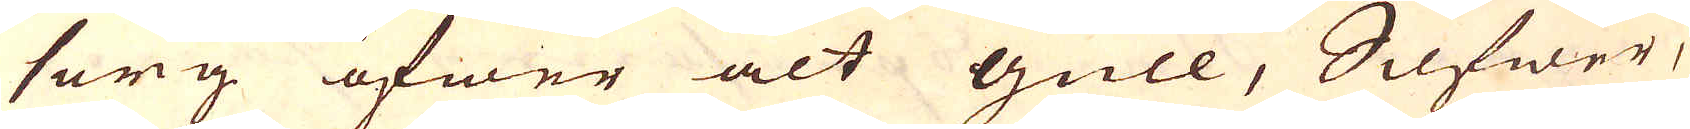sorg öfwer alt gull, Silfwer,
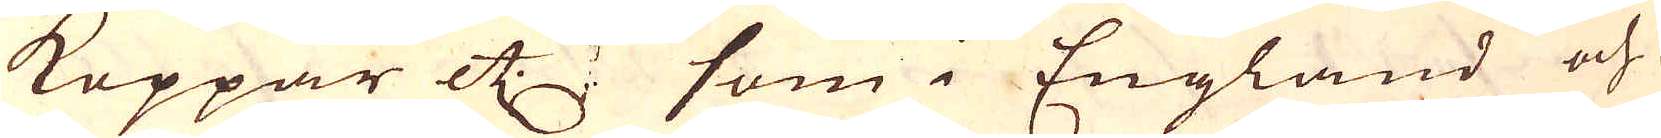Koppar etc som i England och
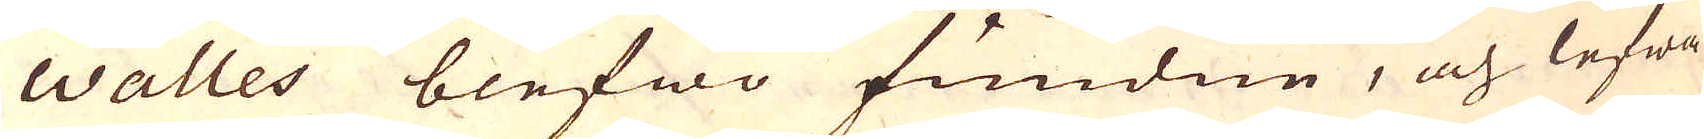Walles blefwo fundne, och lefwa
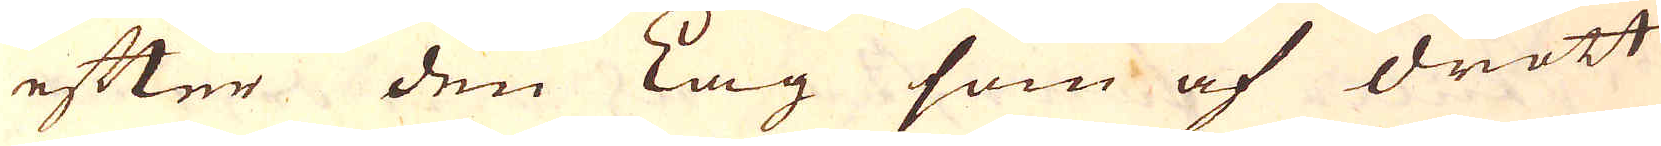efter den Lag som af drott-
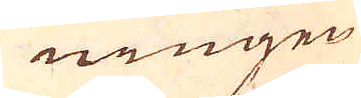ningen
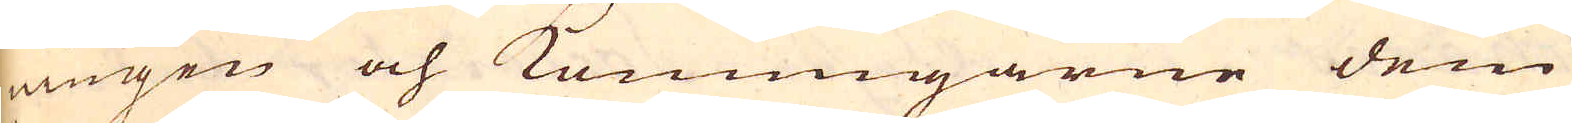ningen och Konungarne dem
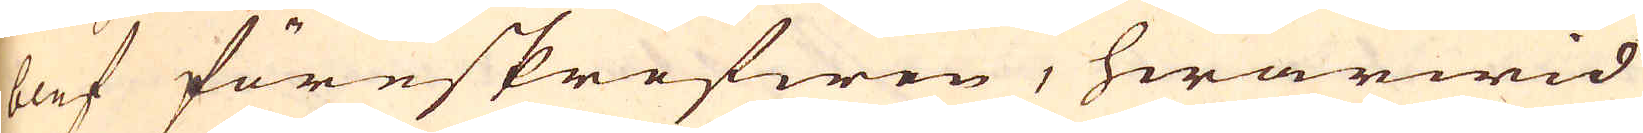blef föreskrefwen, hwarwid
